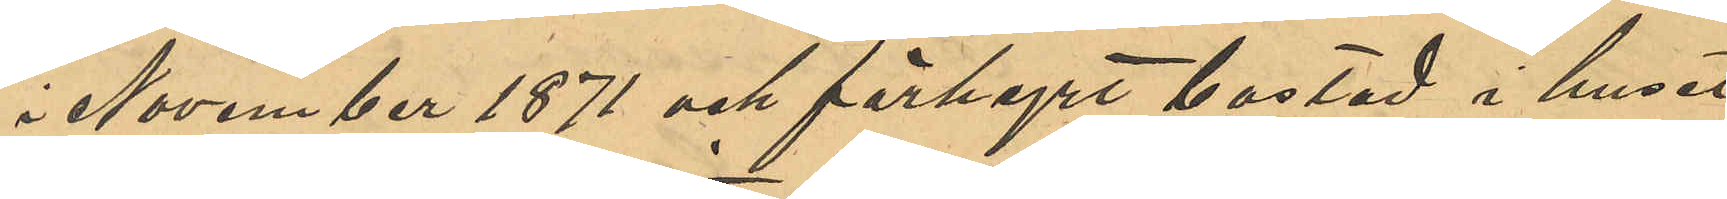i November 1871 och förhyrt bostad i huset
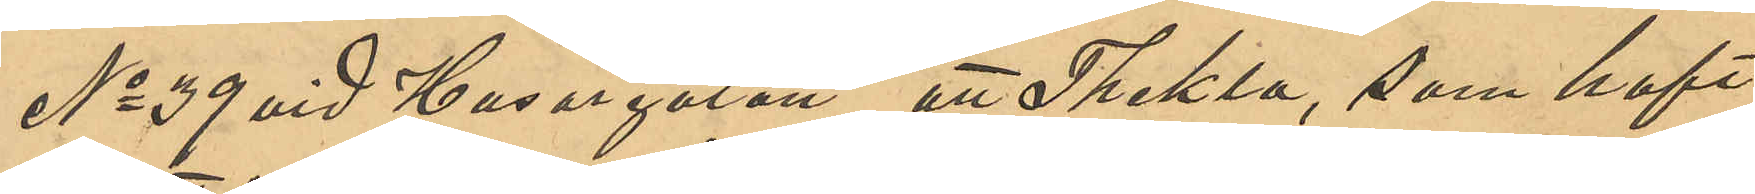No 39 vid Husargatan, att Thekla, som haft
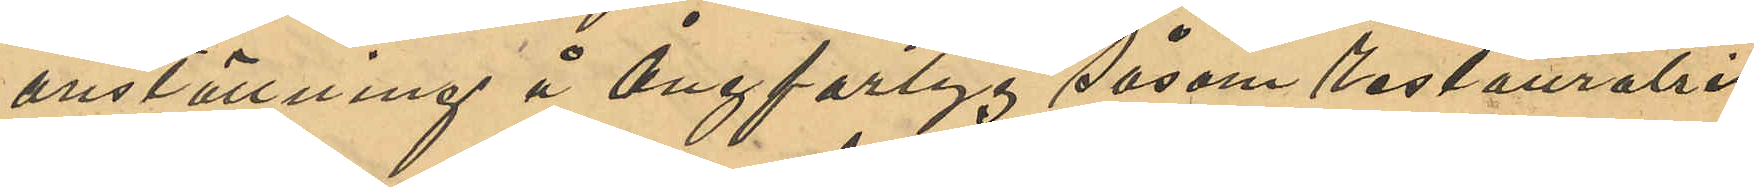anställning å Ångfartyg såsom restauratris,
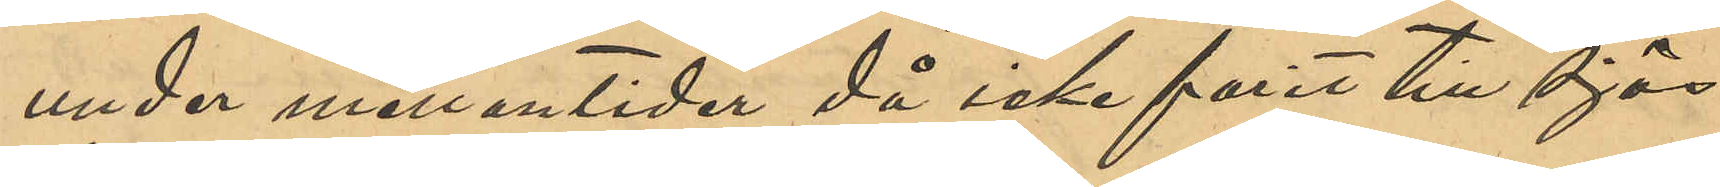under mellantiden då icke farit till sjös,
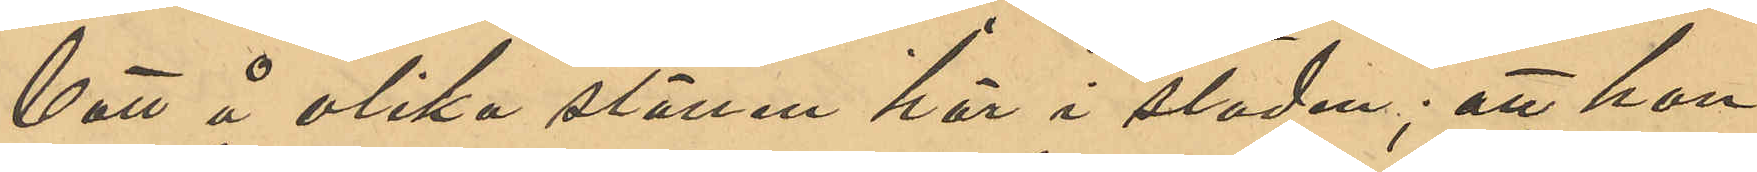bott på olika ställen här i staden; att hon
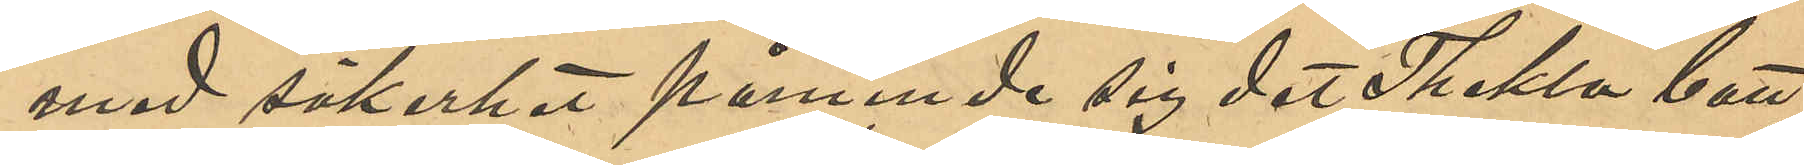med säkerhet påminde sig det Thekla bott
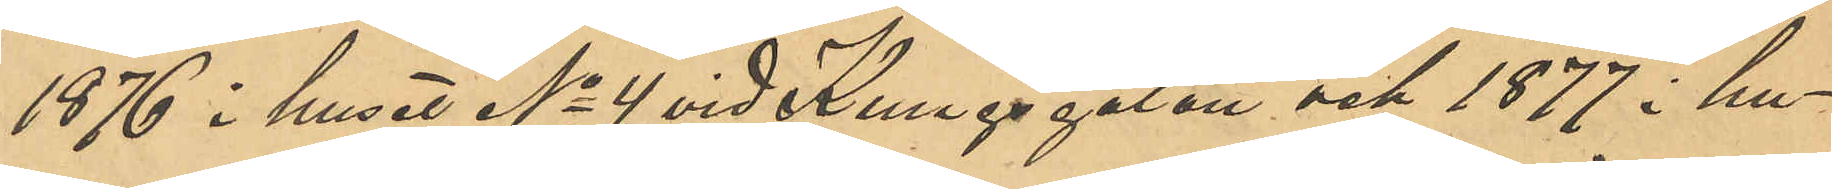1876 i huset No 4 vid Kungsgatan och 1877 i hu¬
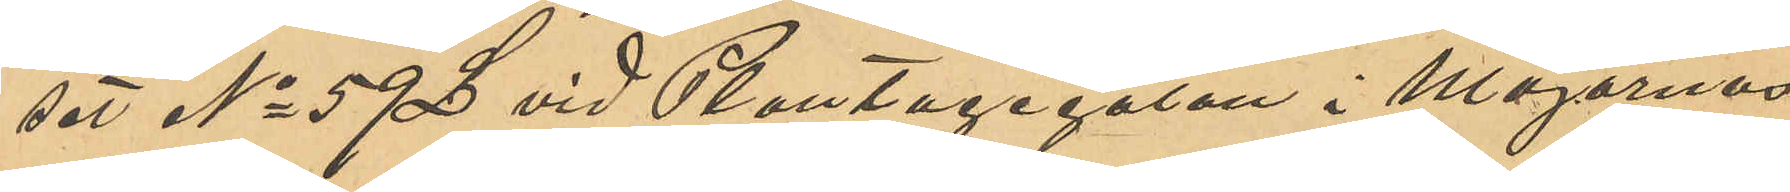set No 59 L vid Plantagegatan i Majornas
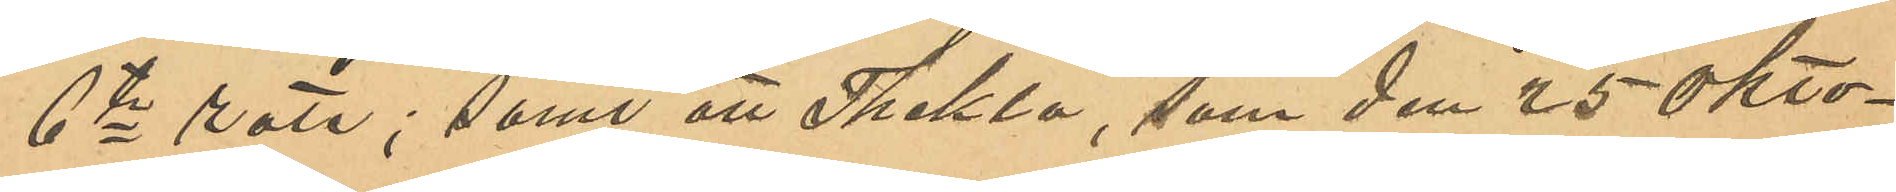6te rote; samt att Thekla, som den 25 okto¬
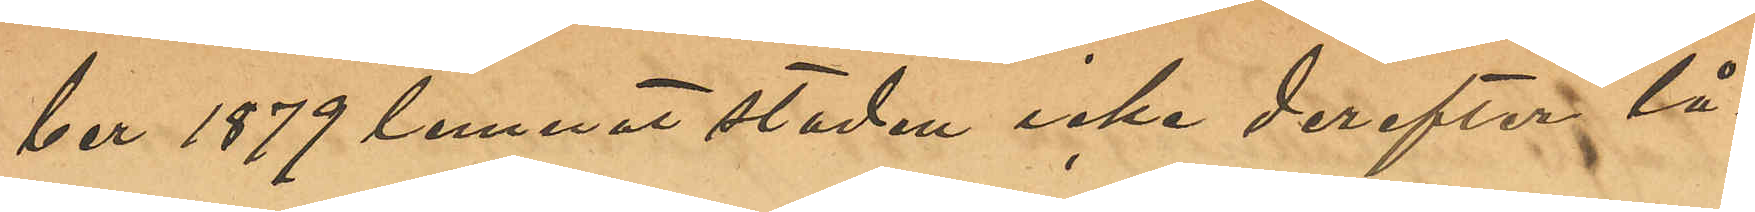ber 1879 lemnat staden icke derefter lå¬
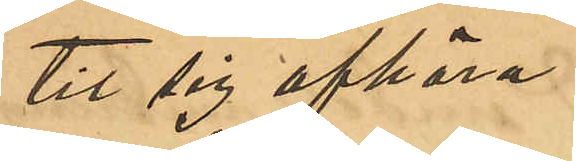tit sig afhöra.
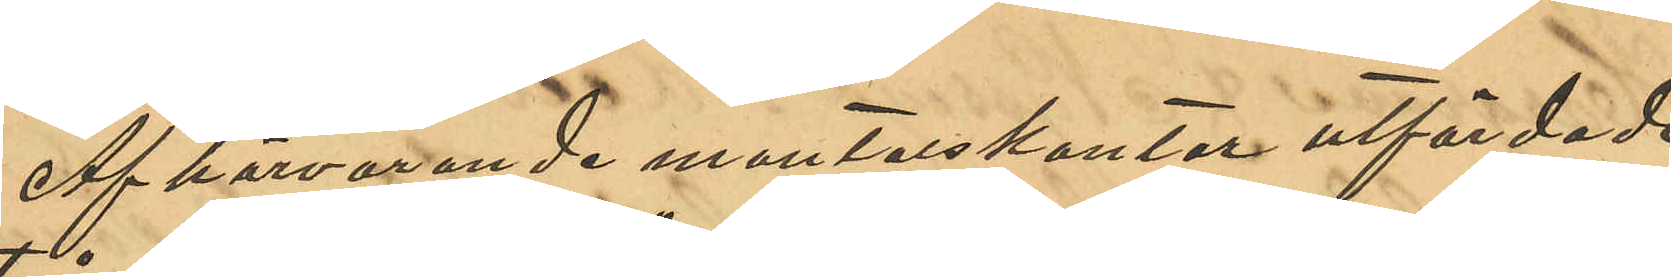Af härvarande mantalskontor utfärdade
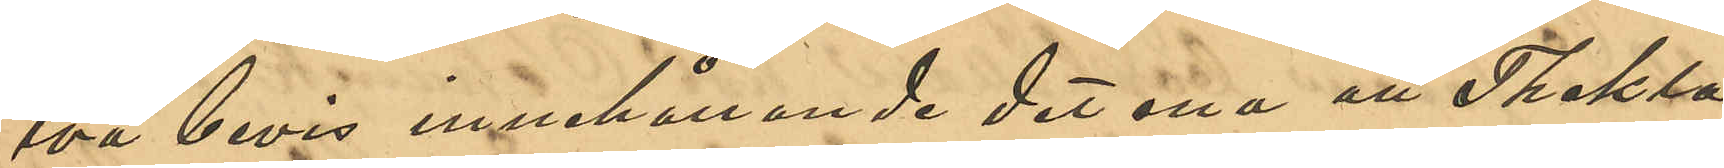två bevis innehållande det ena att Thekla
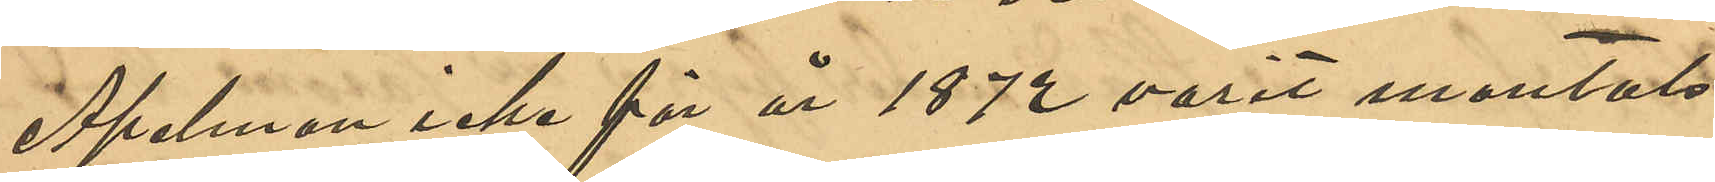Apelman icke för år 1872 varit mantals¬
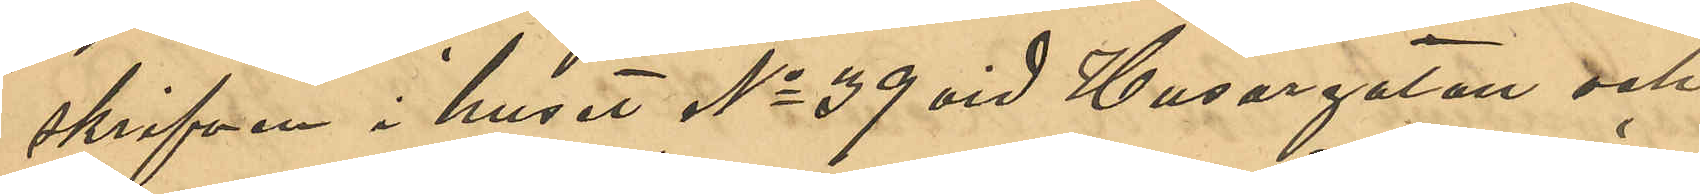skrifven i huset No 39 vid Husargatan och
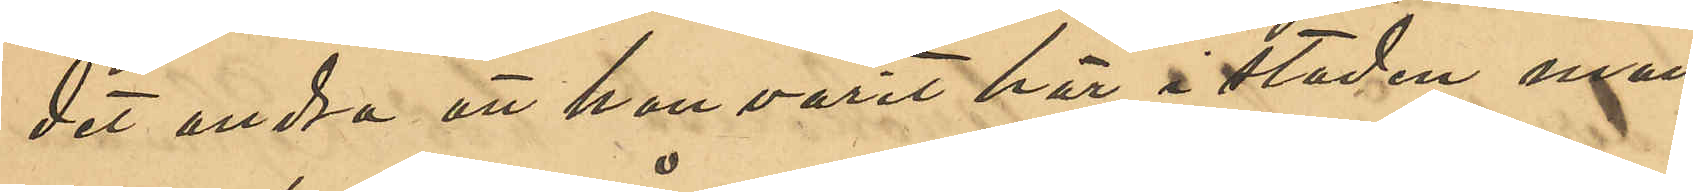det andra att hon varit här i staden man¬
